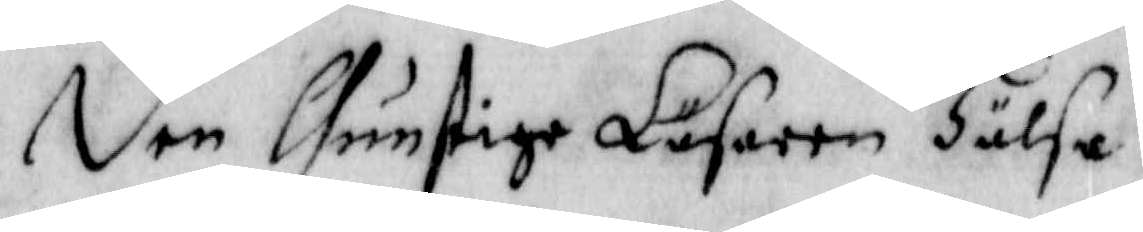den Gunstige Läsaren Hälsa
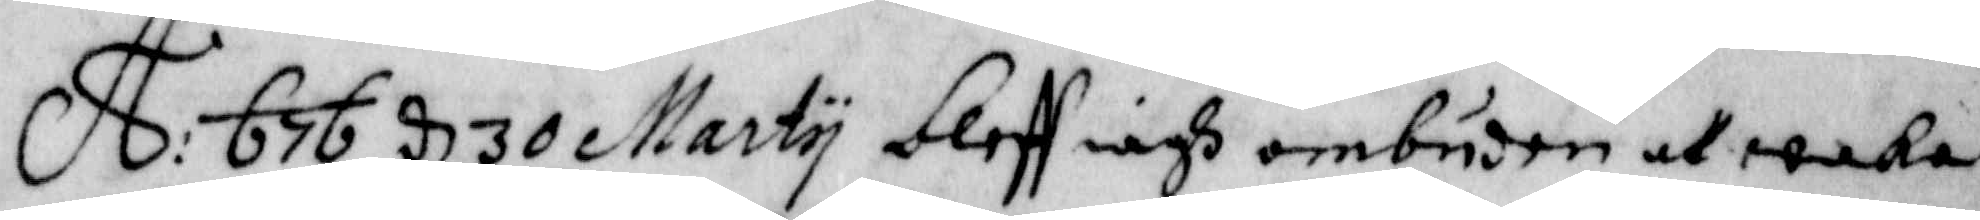A: 676 d 30 Marty bleff iagh ombuden att waka
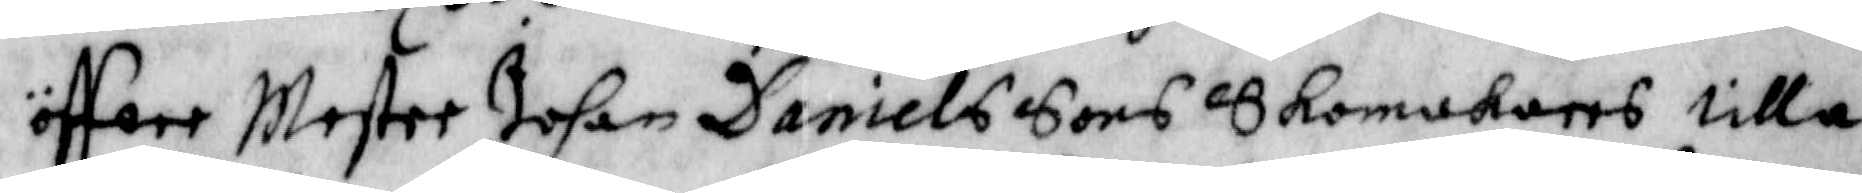öffwer Mester Johan Daniels sons skomakares lilla
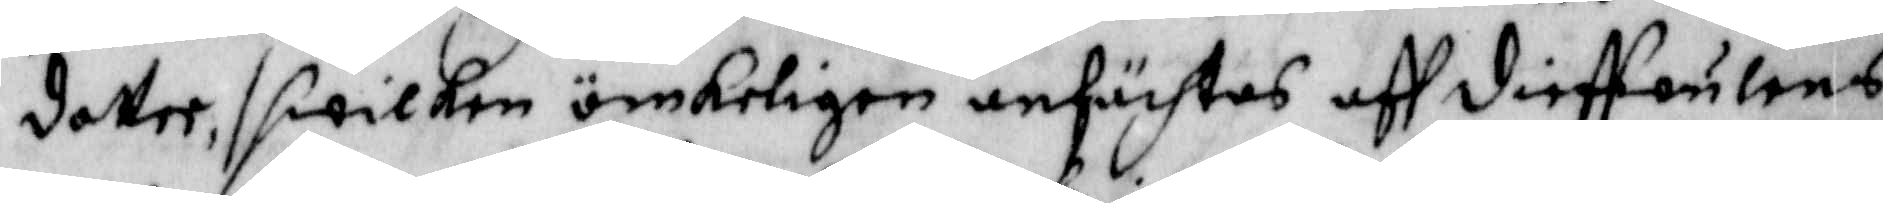dotter, / hwilken ömkeligen anfächtas aff dieffulens
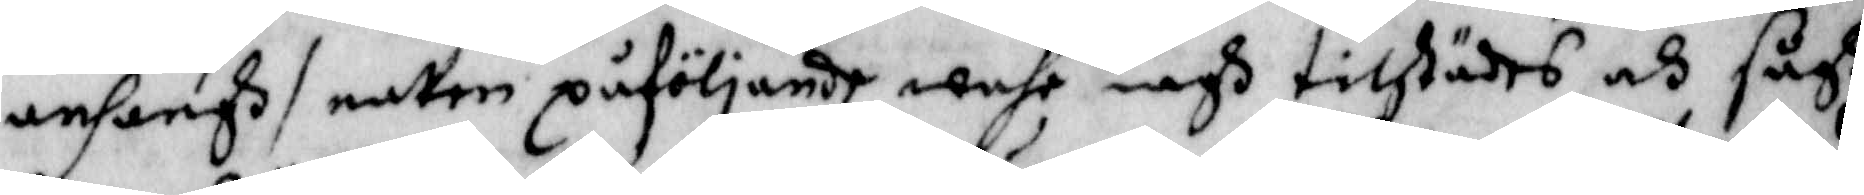anhanh / natten påföljande wahr iagh tillstädes och sågh
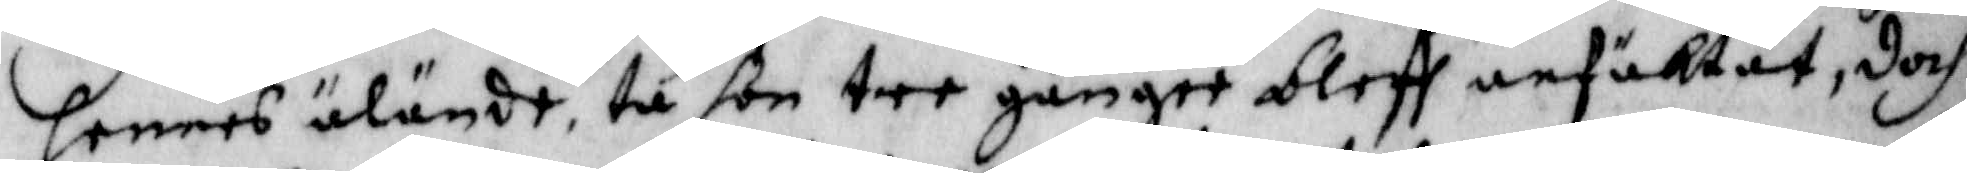hennes älände, tu hon tre gånger bleff anfäktat, doch
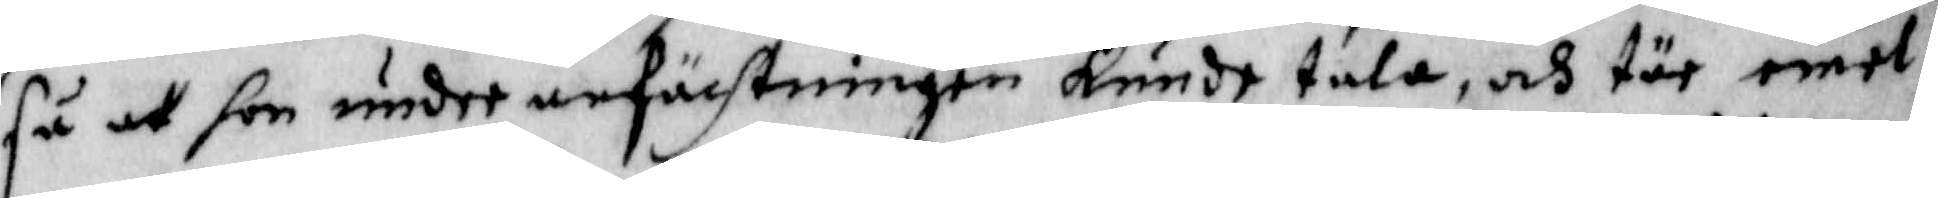så att hon under anfächtningen kunde tala, och tär emel¬
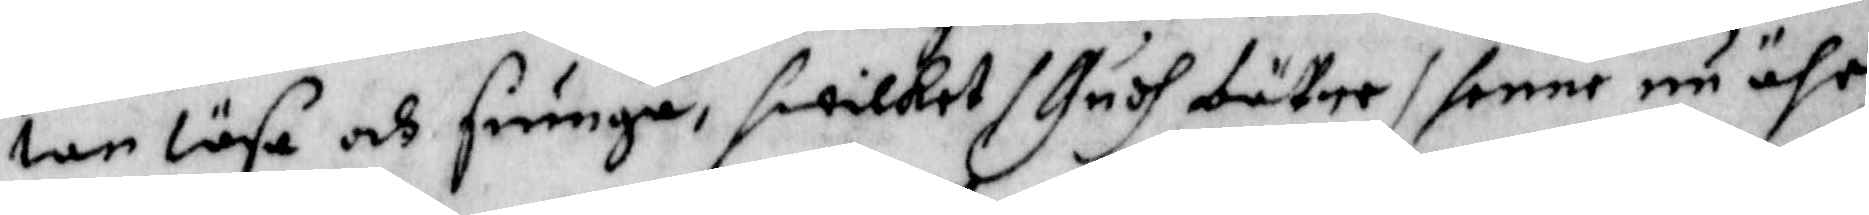lan läsa och siunga hwilket / Gudh bättre / henne nu ähr
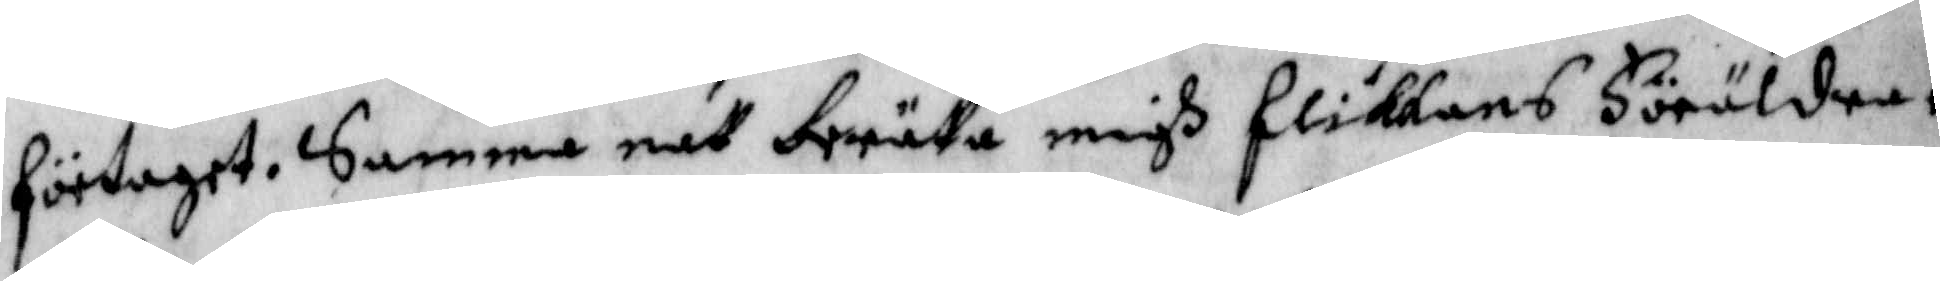förtaget. Samme natt berätta migh flickans Föräldrar
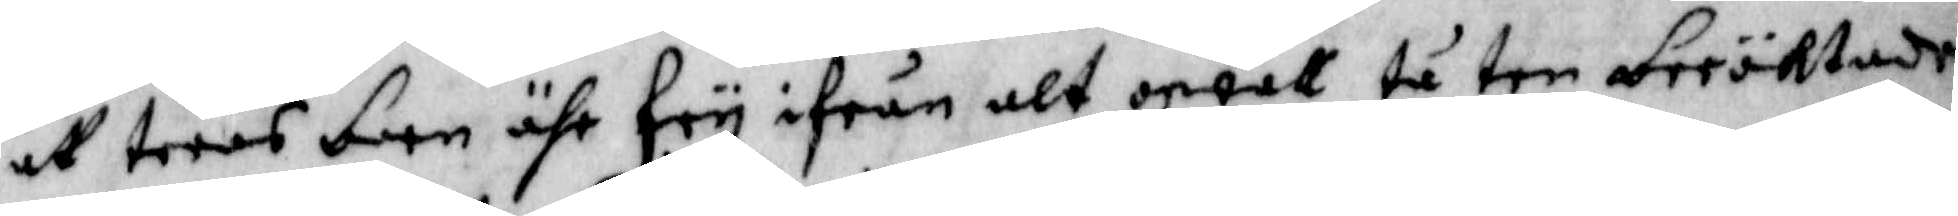att teras barn ähr fry ifrån alt owett tå ten beröktade
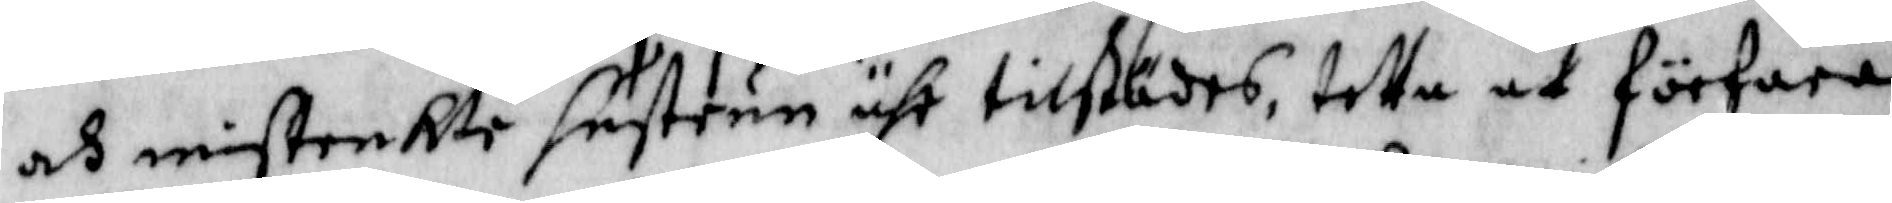och mißtenkte hustrun ähr tillstädes, tetta at förfara
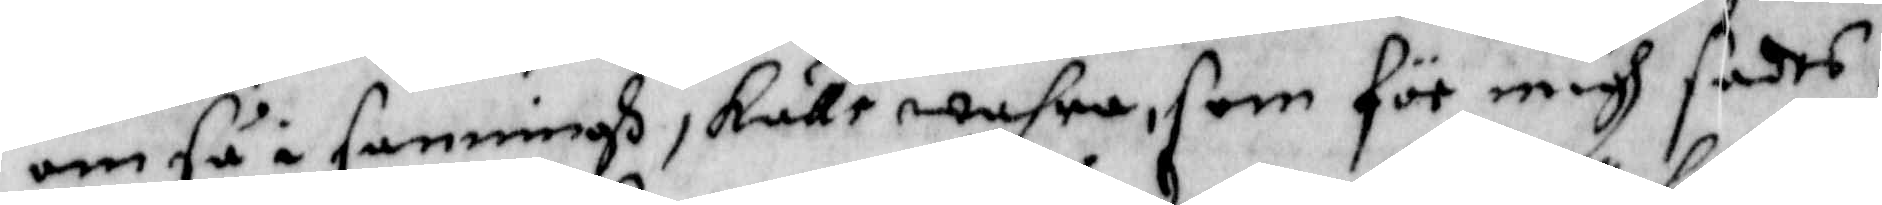om så i sanningh skulle wahra, som för migh sades,
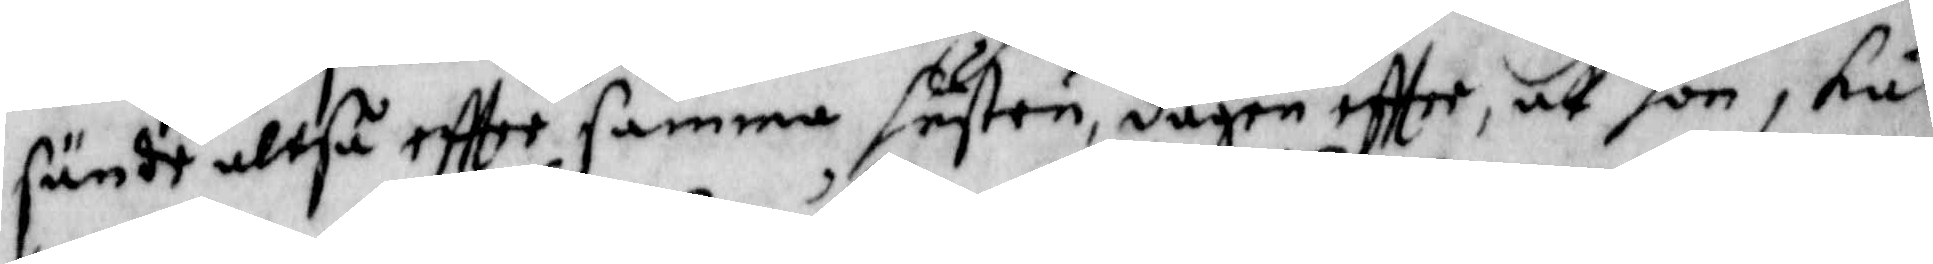sändt altså effter samma hustru, dagen effter, att hon, skul¬
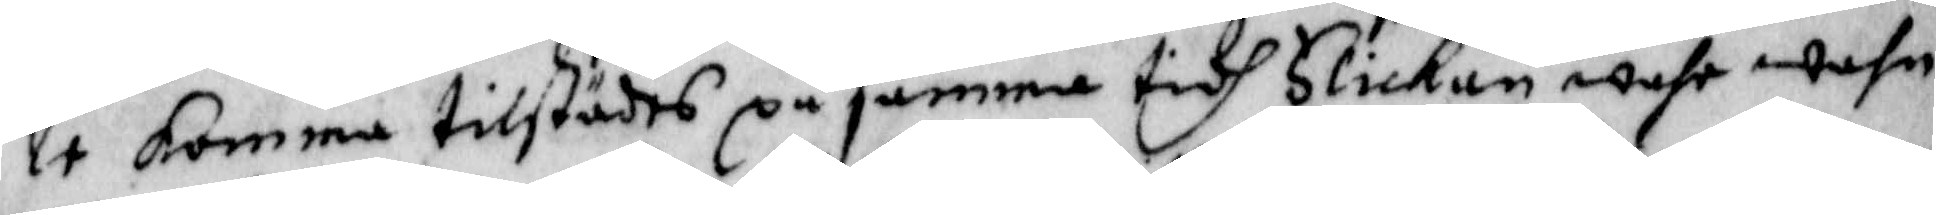le komma tillstädes på samma tidh Flickan wahr wahn
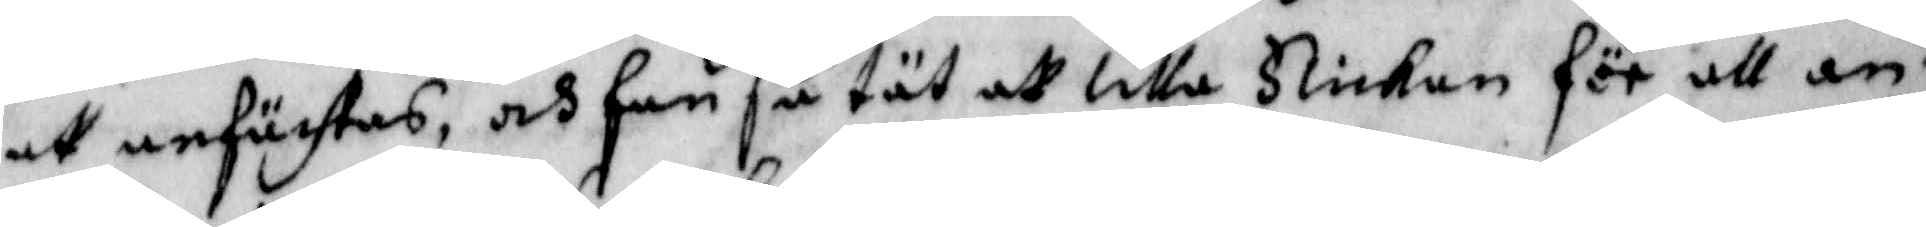att anfächtas, och fan så tät att lilla Flickan för att an¬
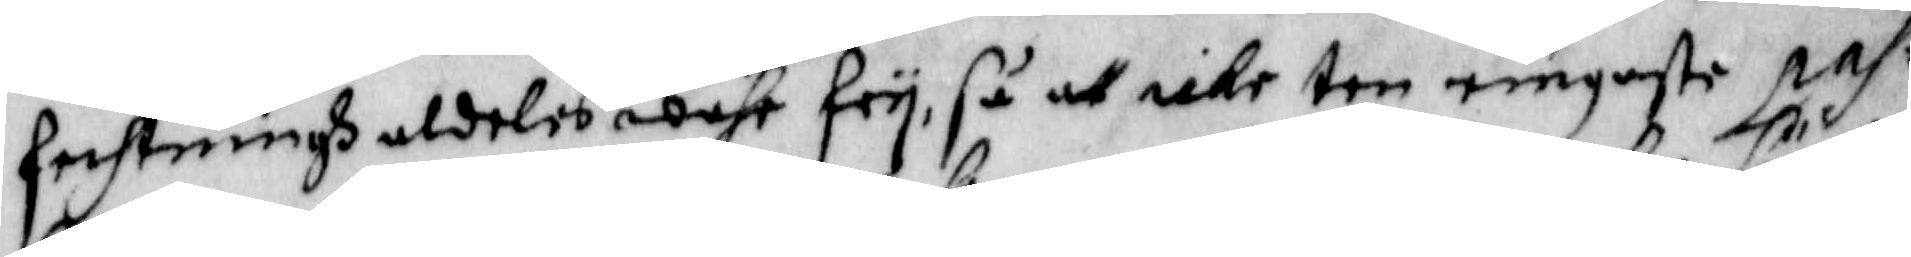fechtningh aldeles wahr fry, så att icke ten ringaste pas¬
